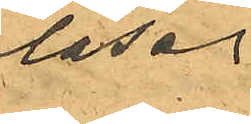las.
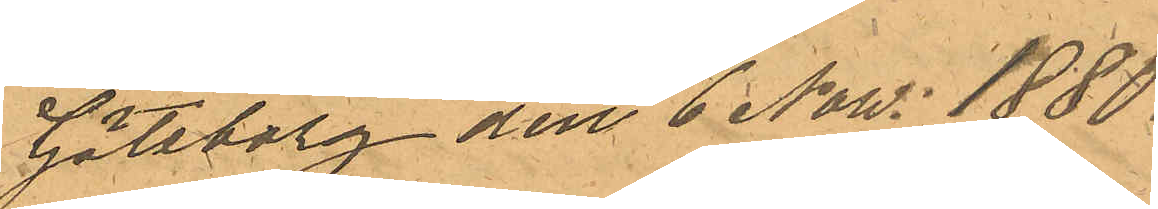Göteborg den 6 Now. 1880.
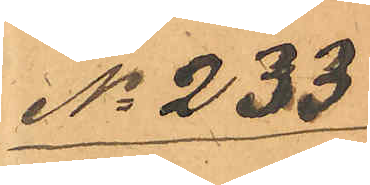No 233
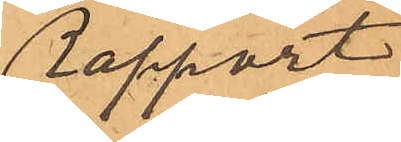Rapport
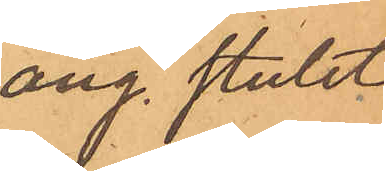ang. stulet
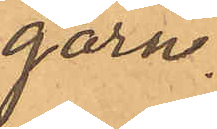garn.
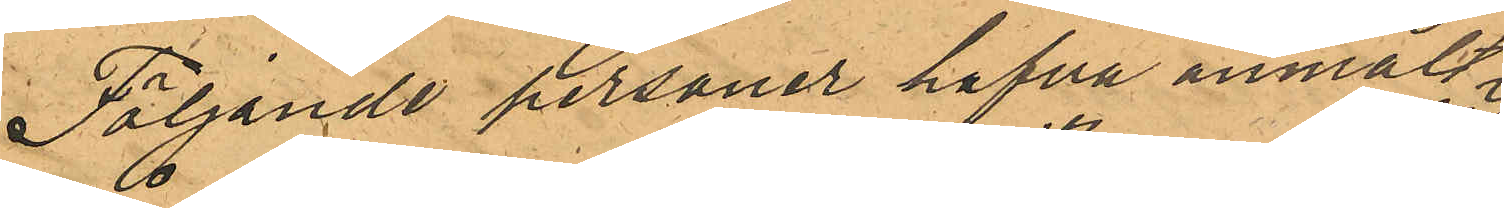Följande personer hafva anmält
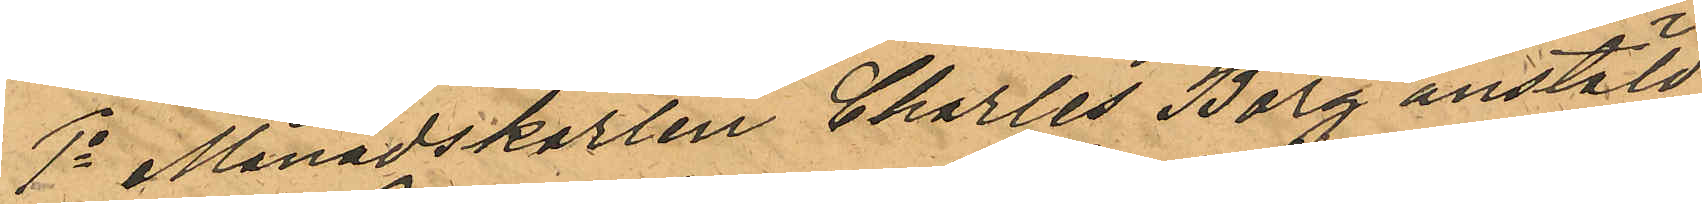1o Månadskarlen Charles Borg anstäld
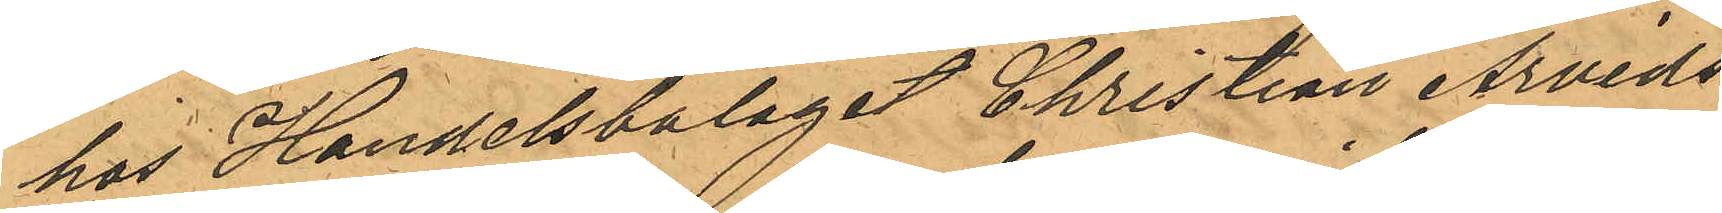hos Handelsbolaget Christian Arvids¬
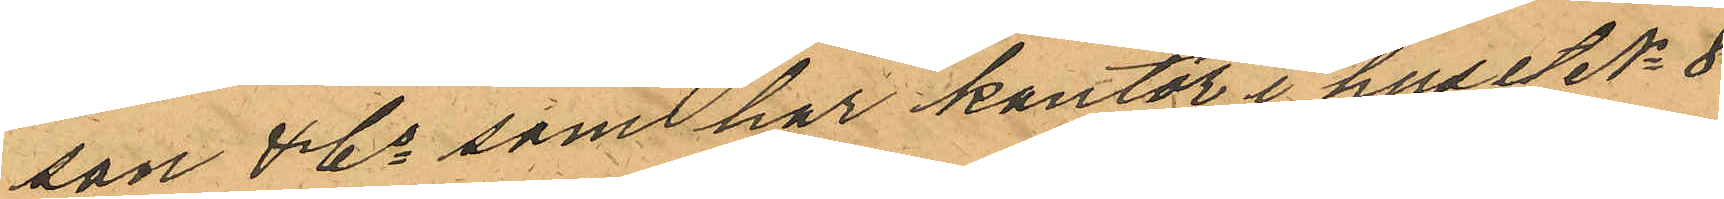son & Co som har kontor i huset No 8
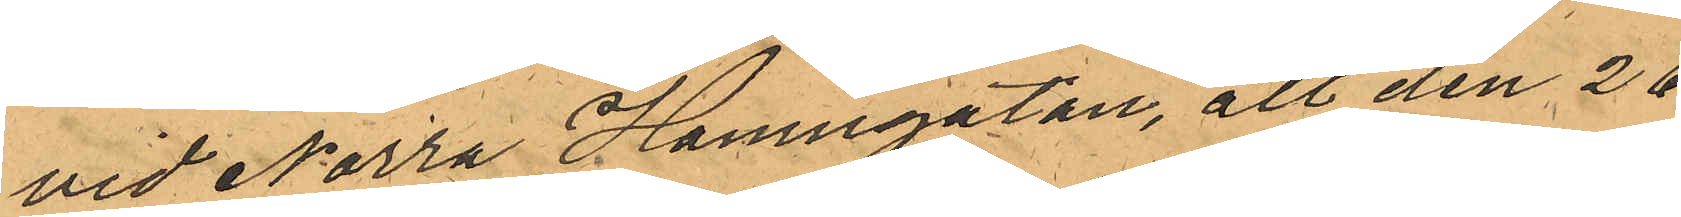vid Norra Hamngatan, att den 26
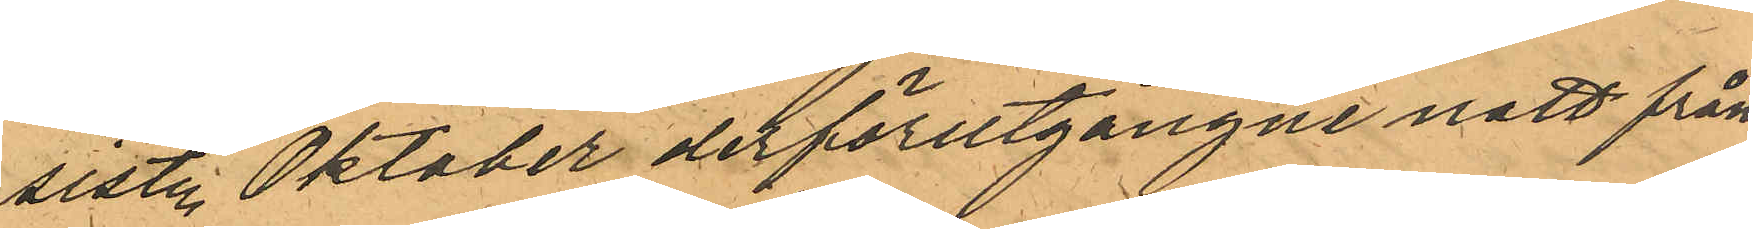sistl. Oktober derförutgångne natt från
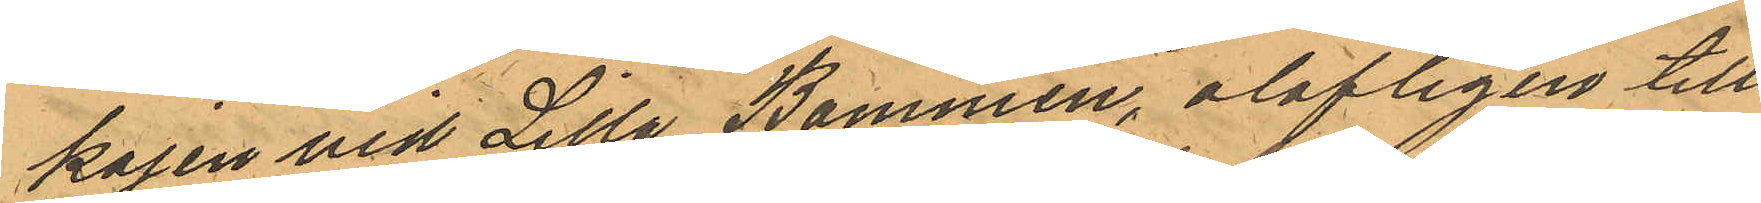kajen vid Lilla Bommen, olofligen till¬
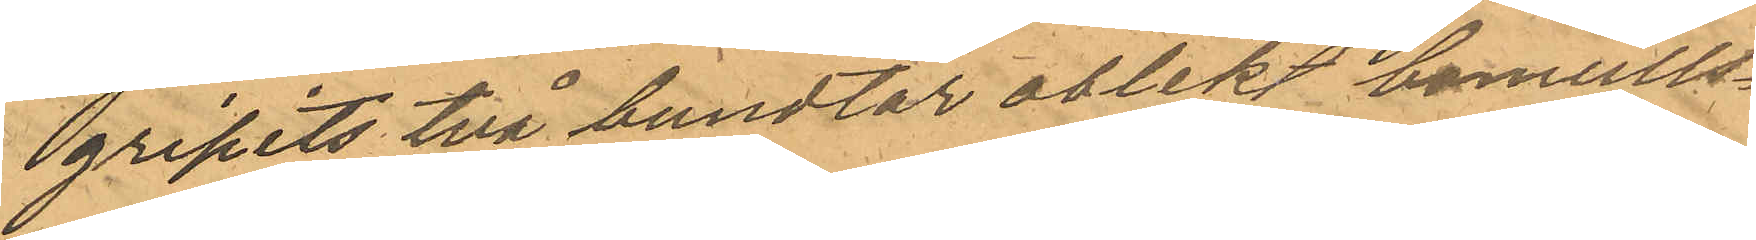gripits två bundtar oblekt bomulls¬
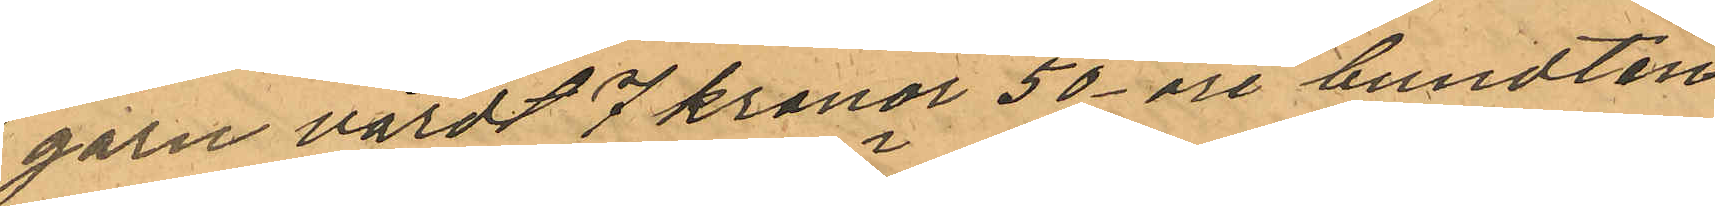garn värdt 7 kronor 50 öre bundten
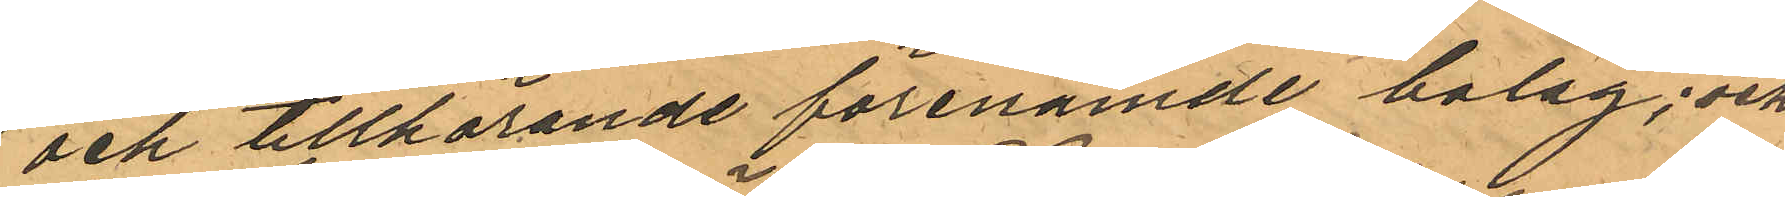och tillhörande förenämde bolag; och
